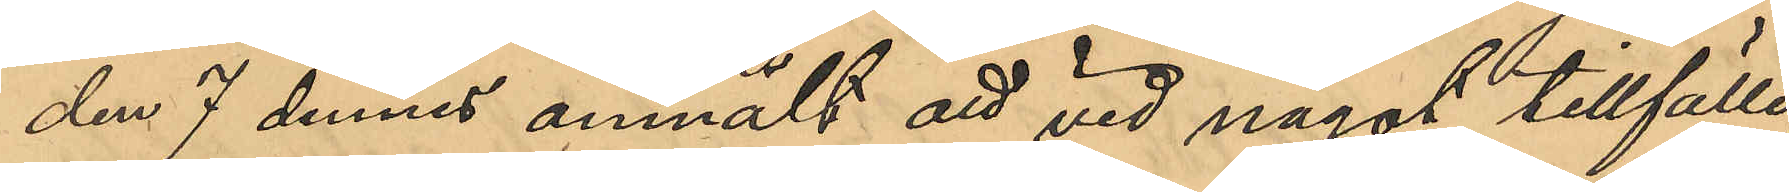den 7 dennes anmält att vid något tillfälle
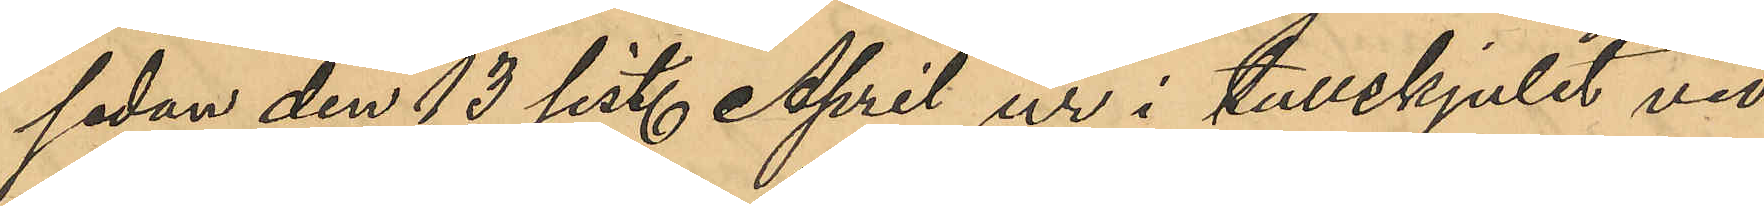sedan den 13 sist. April ur i tullskjulet vid
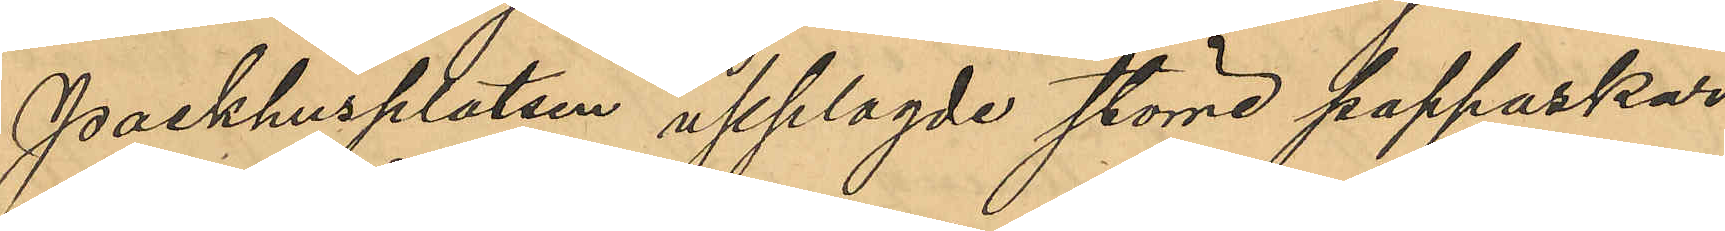Packhusplatsen upplagde större pappaskar
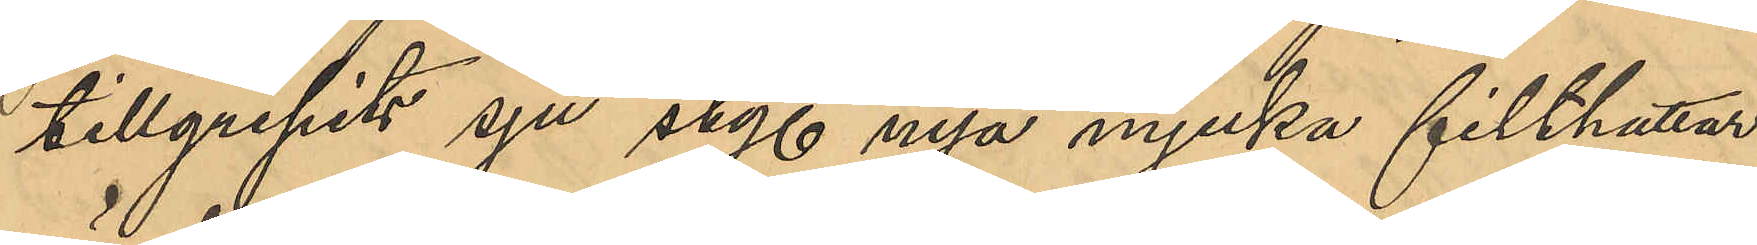tillgripits sju sty. nya mjuka filthattar,
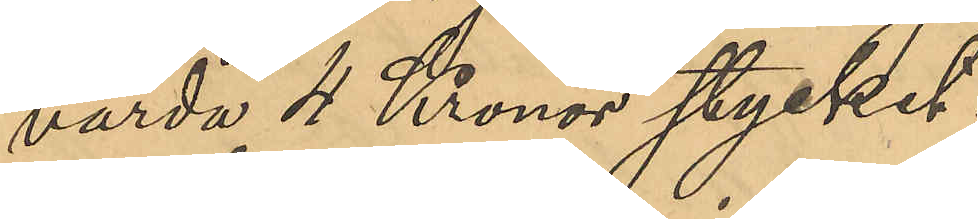värda 4 Kronor stycket.
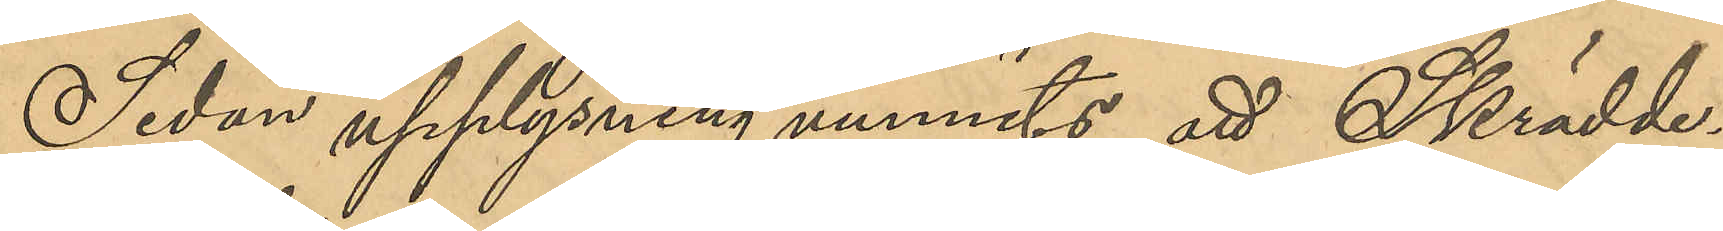Sedan upplysning vunnits att Skrädde¬
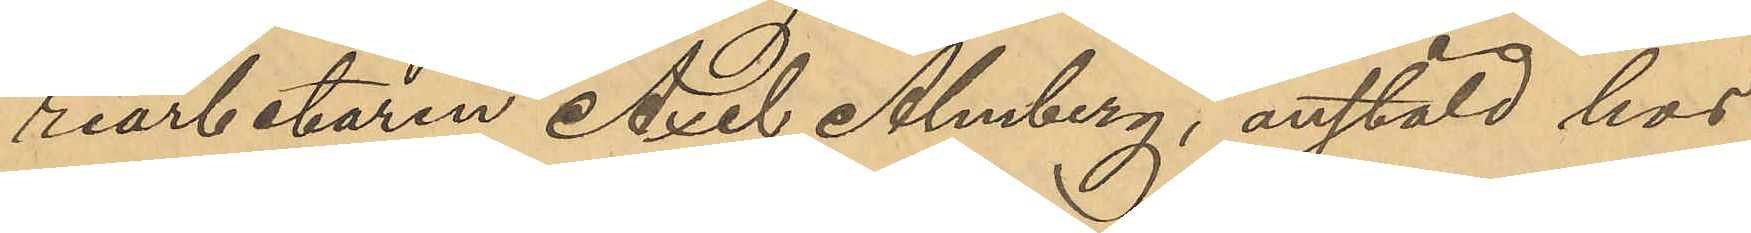riarbetaren Axel Almberg, anstäld hos
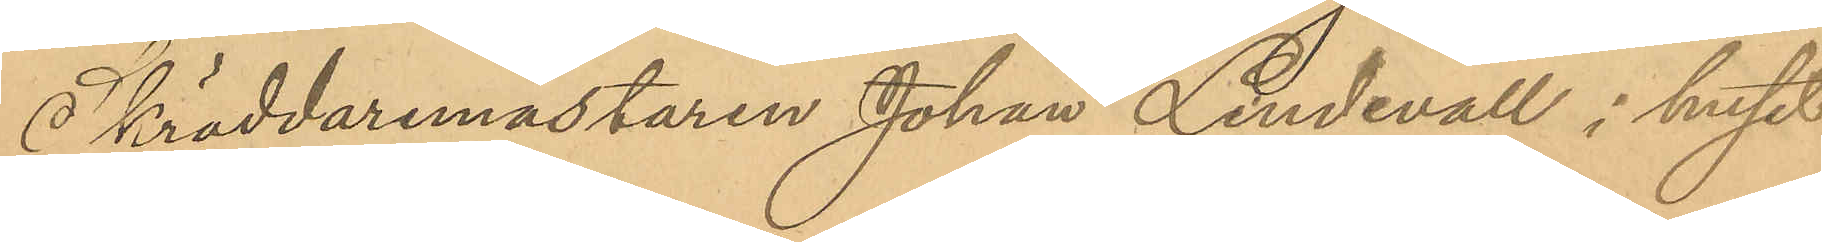Skräddaremästaren Johan Lindevall i huset
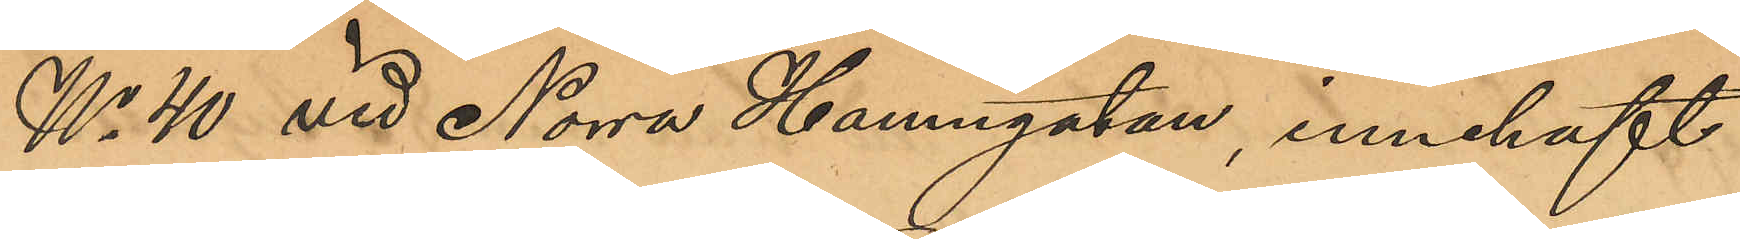No 40 vid Norra Hamngatan, innehaft
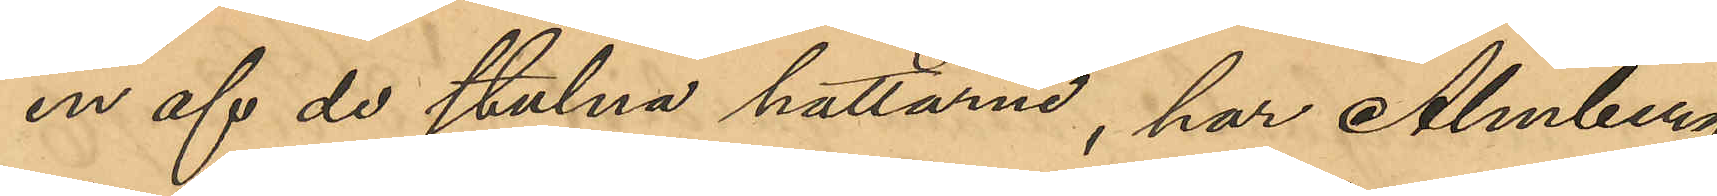en af de stulna hattarna, har Almberg
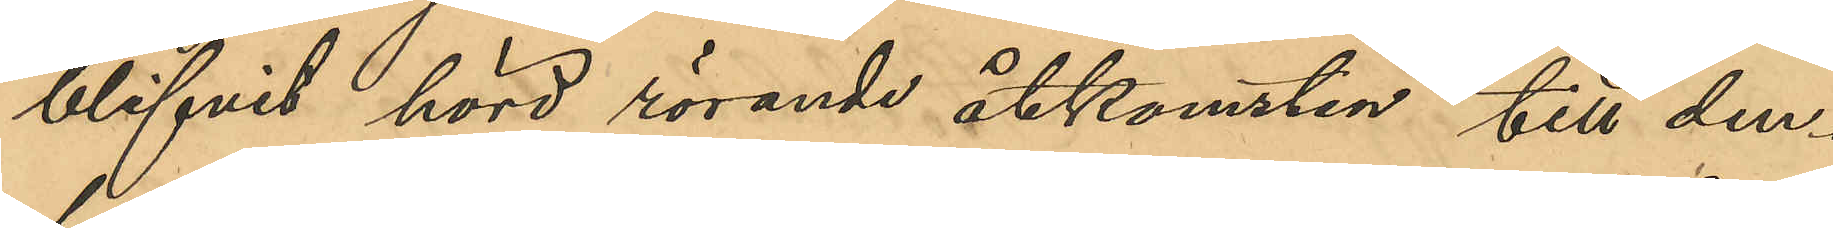blifvit hörd rörande åtkomsten till den¬
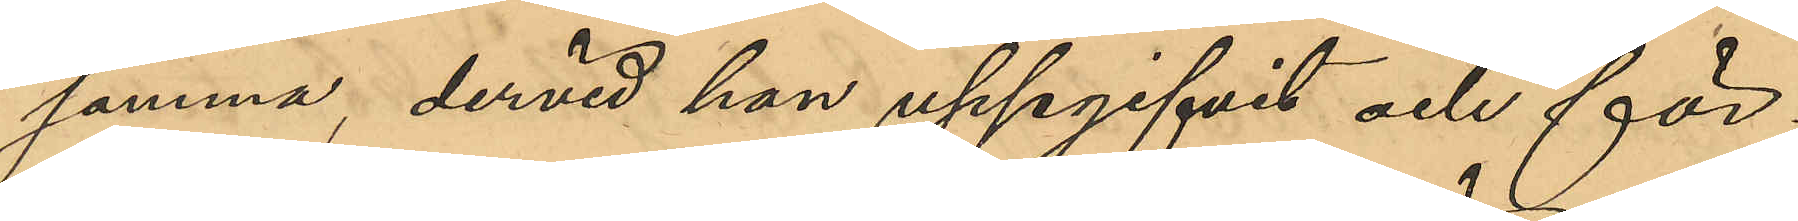samma, dervid han uppgifvit och för¬
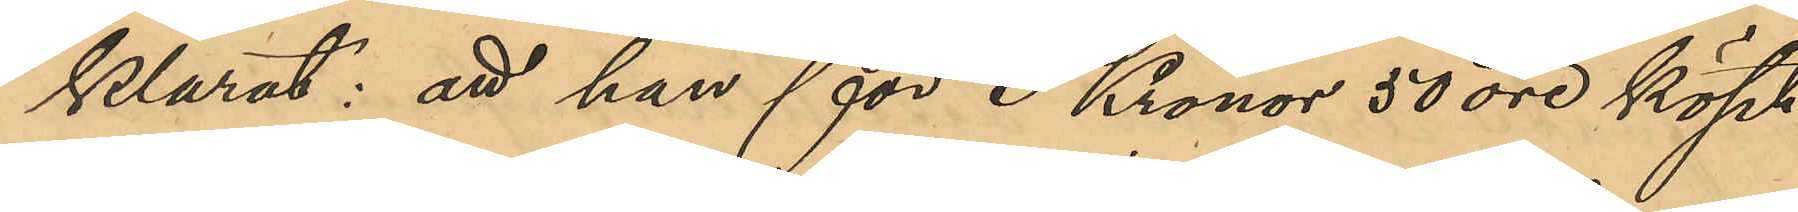klarat: att han för 3 Kronor 50 öre köpt
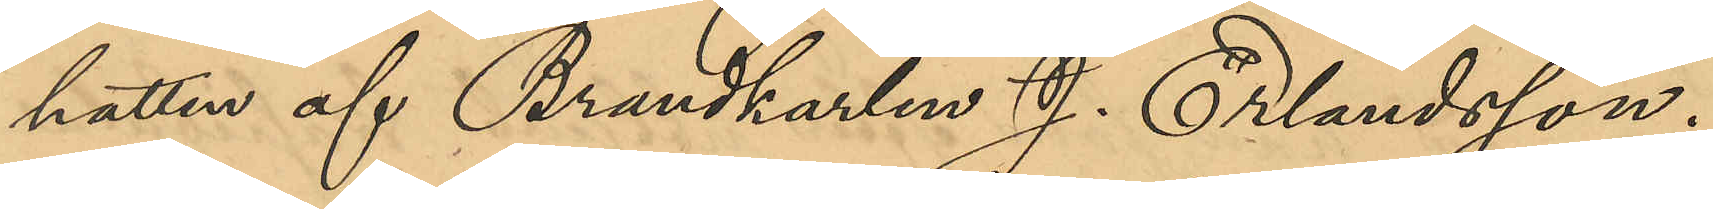hatten af Brandkarlen Erlandsson.
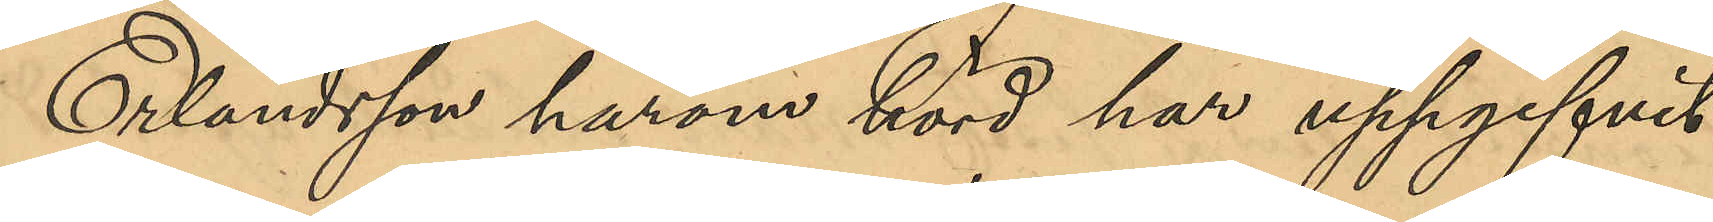Erlandsson härom hörd har uppgifivt
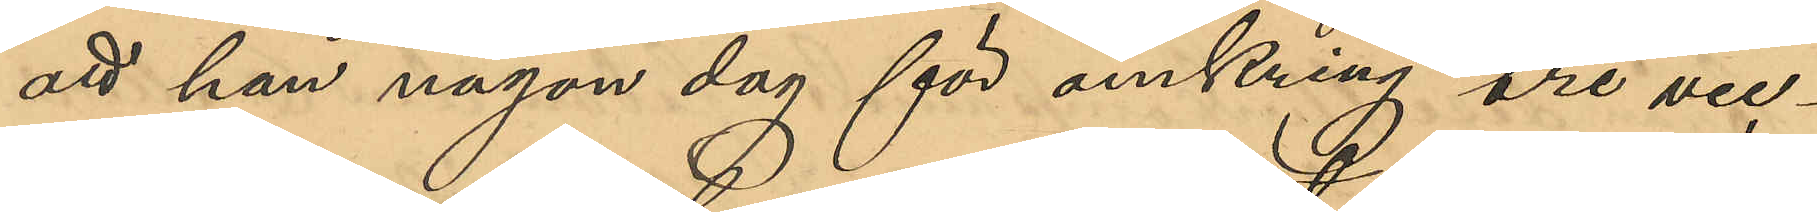att han någon dag för omkring tre vec¬
